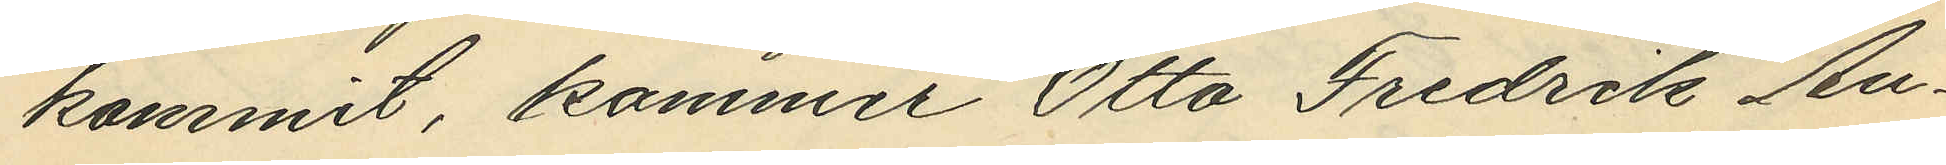kommit, kommer Otto Fredrik An¬
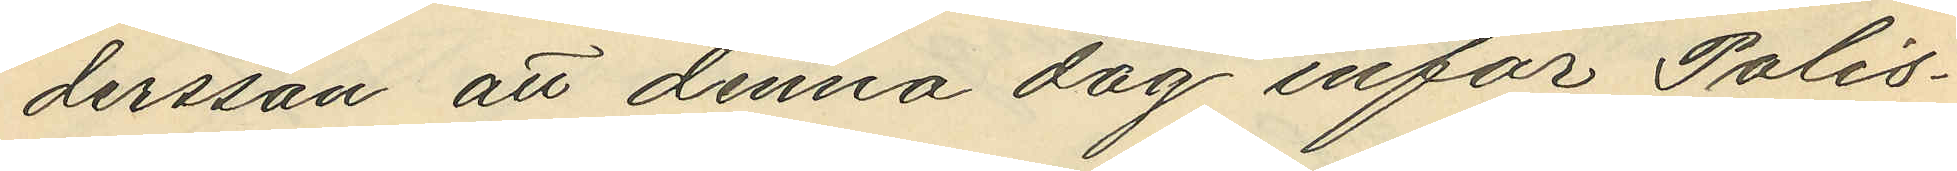dersson att denna dag inför Polis¬
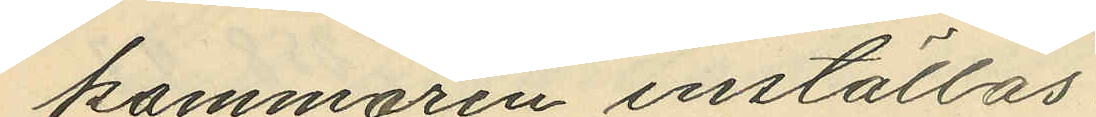kammaren inställas.
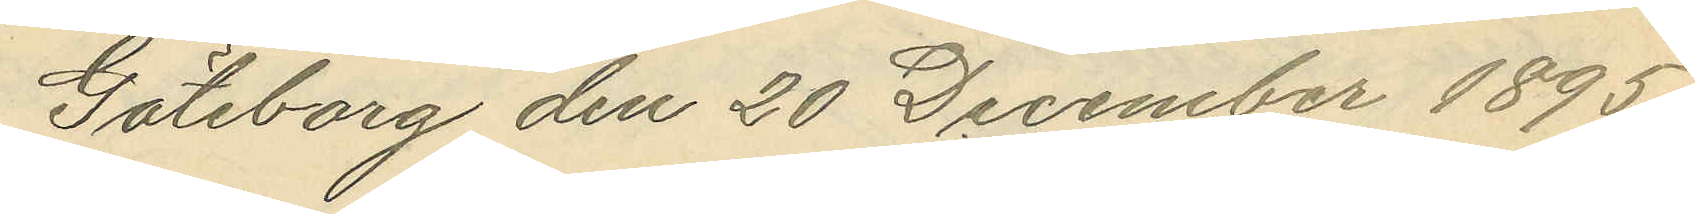Göteborg den 20 December 1895.
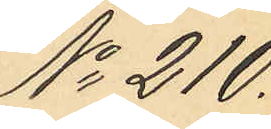No 210.
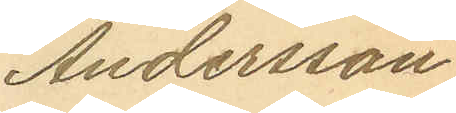Andersson
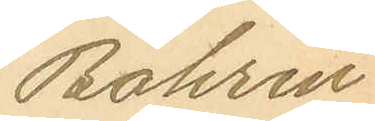Bohrin
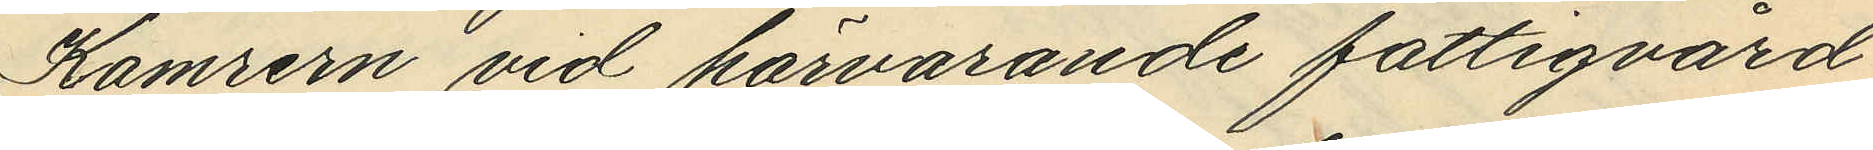Kamrern vid härvarande fattigvård
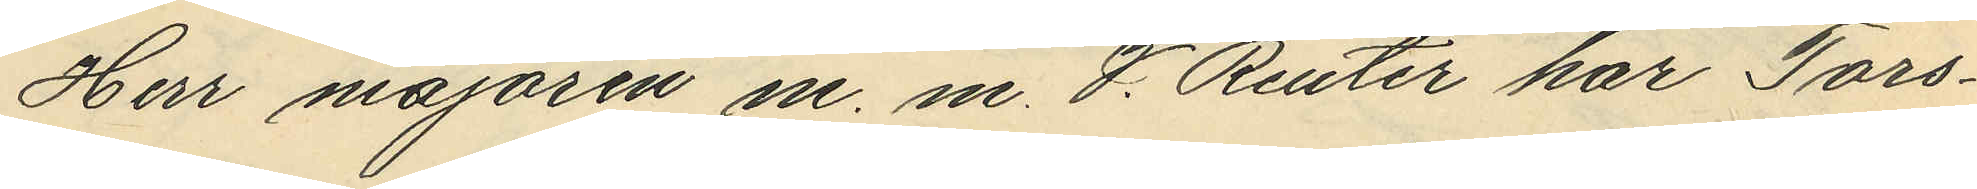Herr majoren m. m. V. Reuter har Tors¬
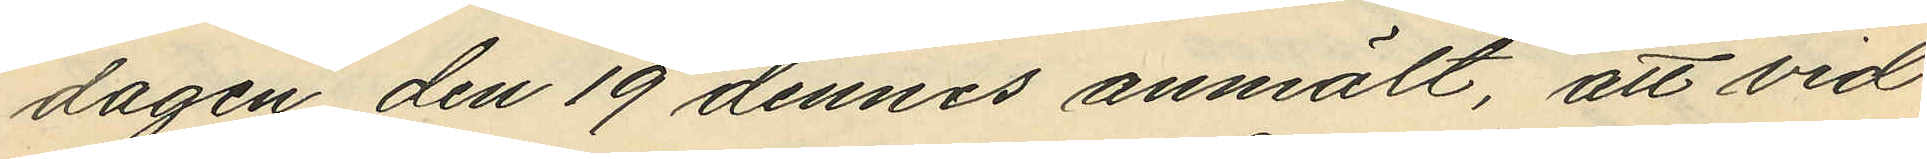dagen den 19 dennes anmält, att vid
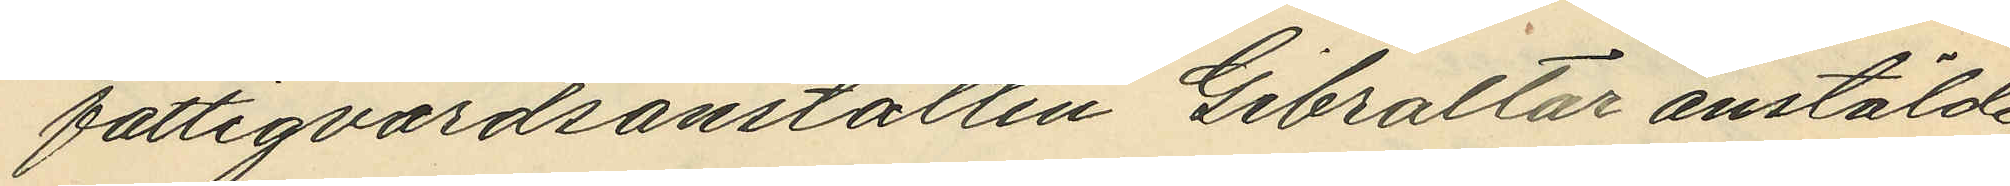fattigvårdsanstalten Gibraltar anstälde
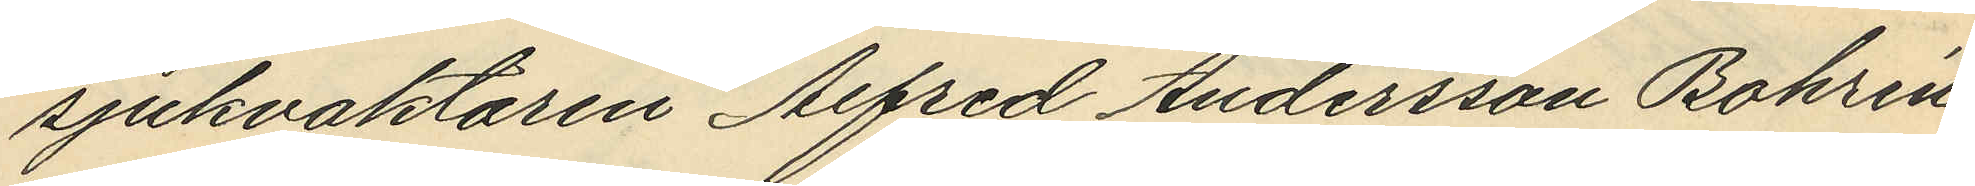sjukvaktaren Alfred Andersson Bohrin,
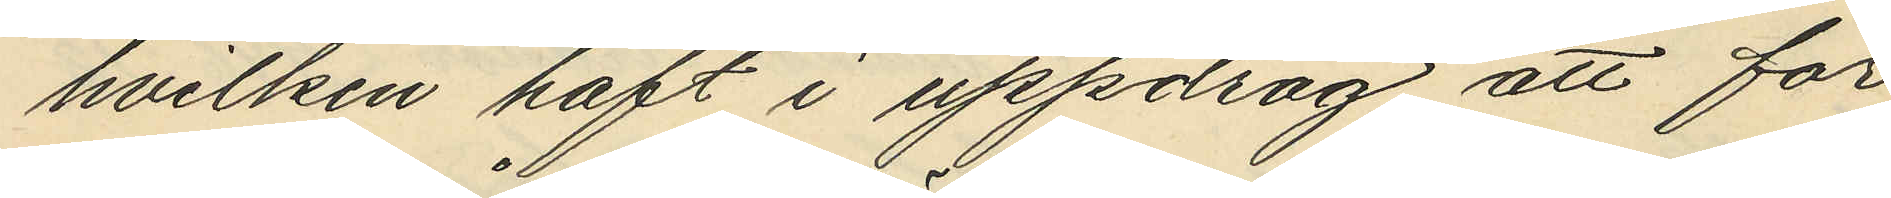hvilken haft i uppdrag att för
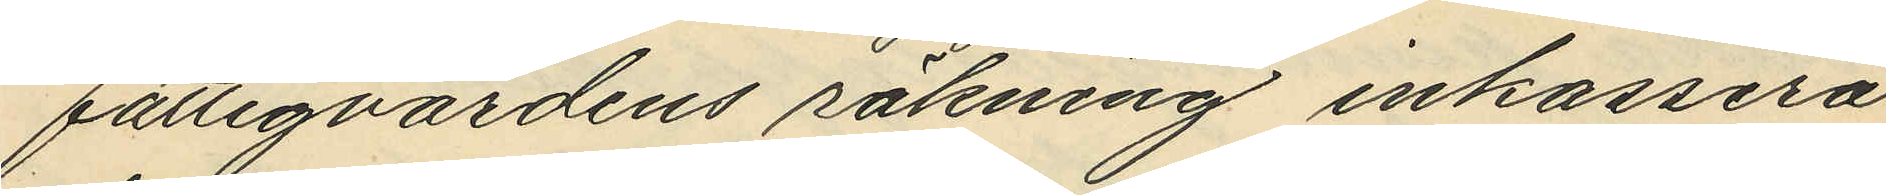fattigvårdens räkning inkassera
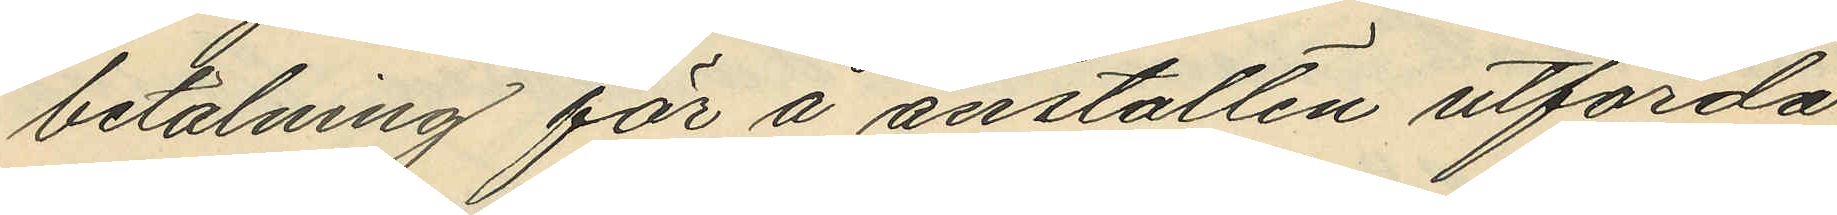betalning för å anstalten utförda
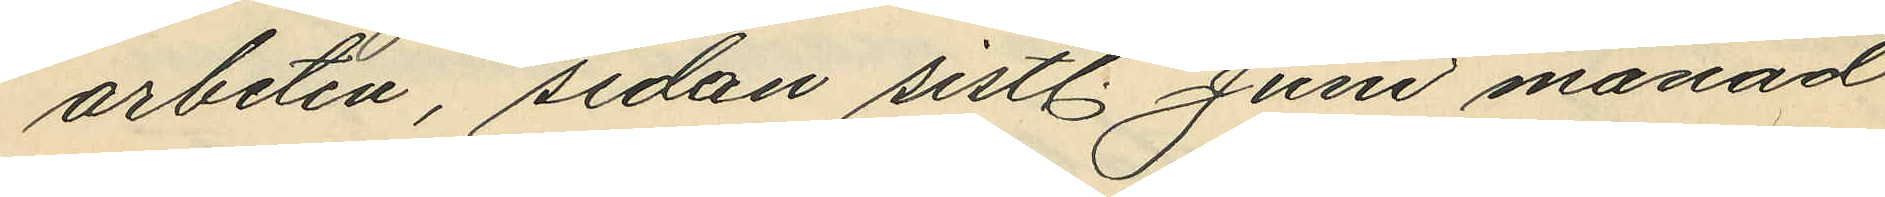arbeten, sedan sistl. Juni månad
